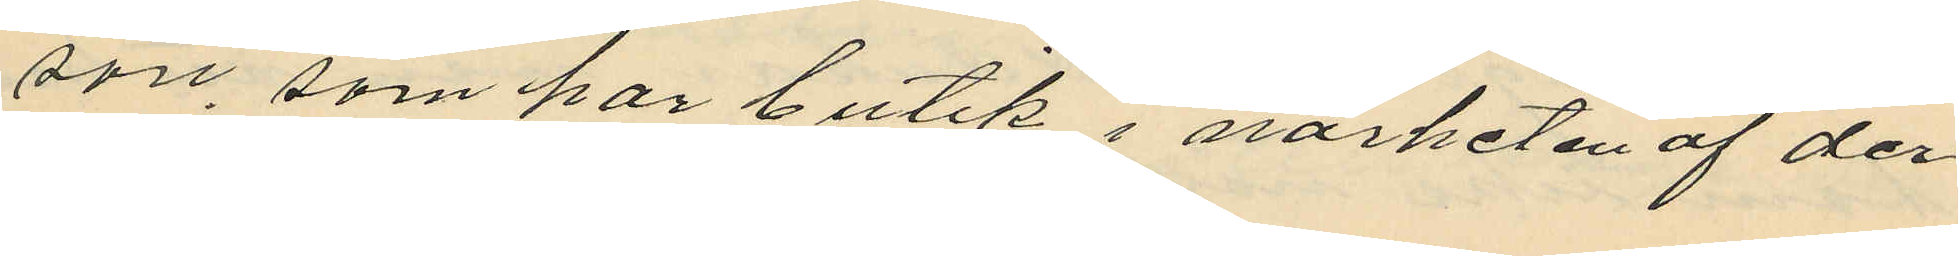son, som har butik i närheten av der
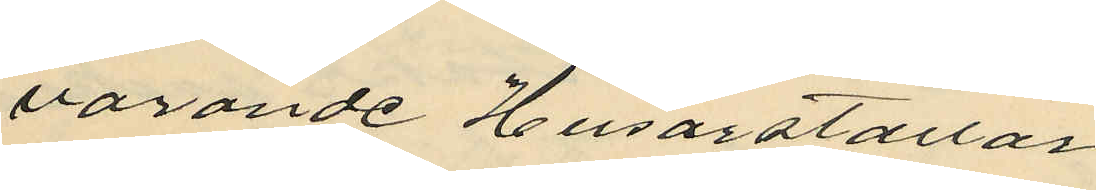varande Husarstallar
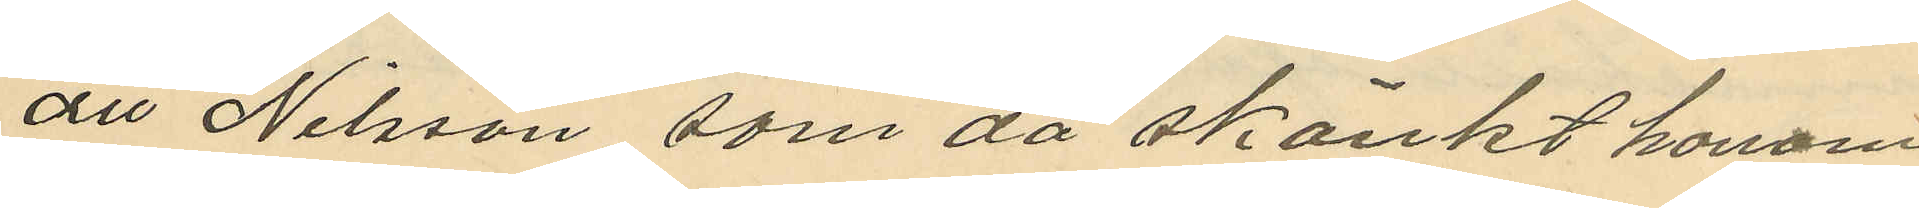att Nilsson, som då skänkt honom
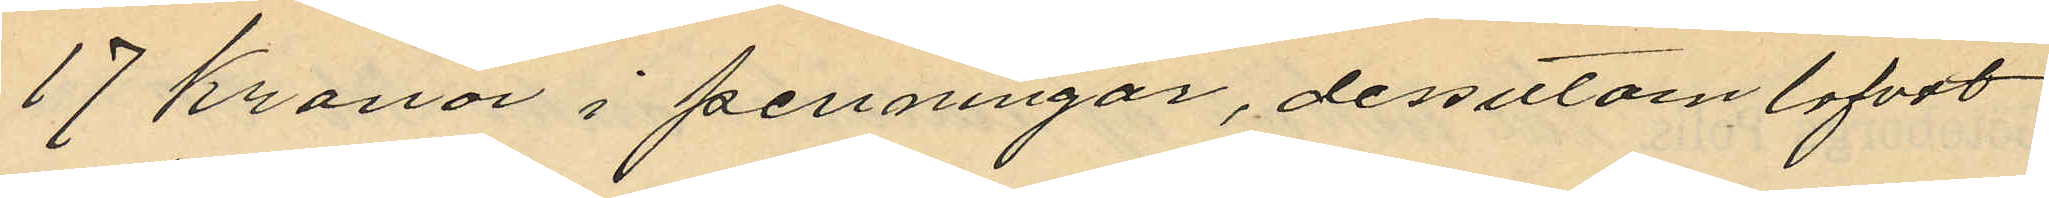17 Kronor i penningar, dessutom lofvat
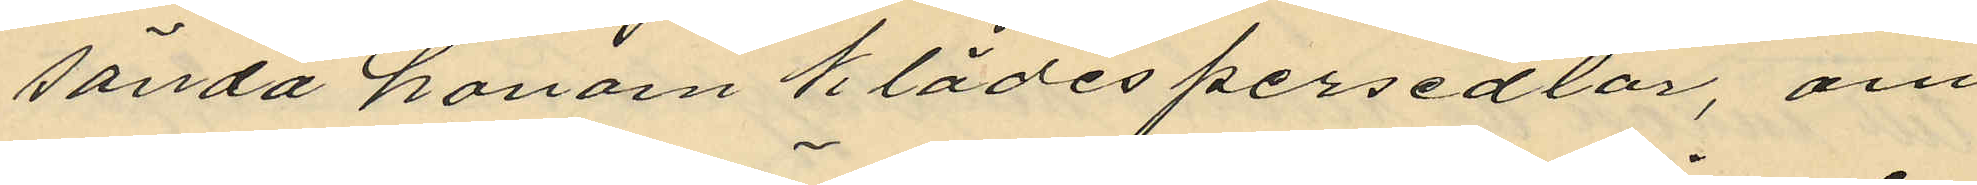sända honom klädespersedlar, om
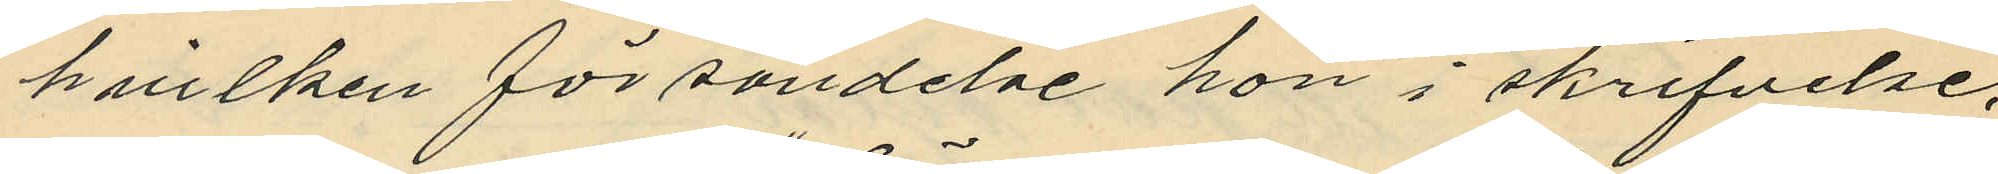hvilken försändelse hon i skrifvelse,
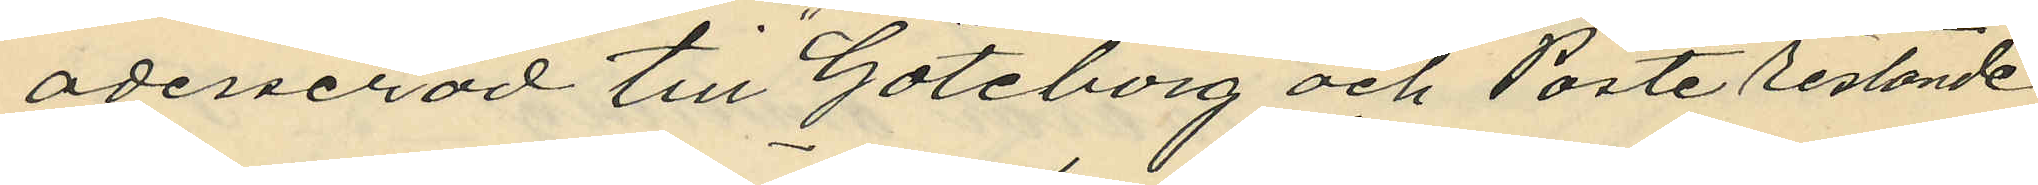adresserad till "Göteborg och Poste Restante"
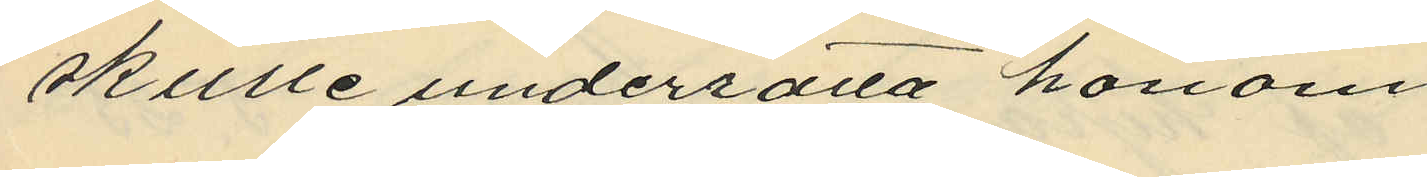skulle underrätta honom.
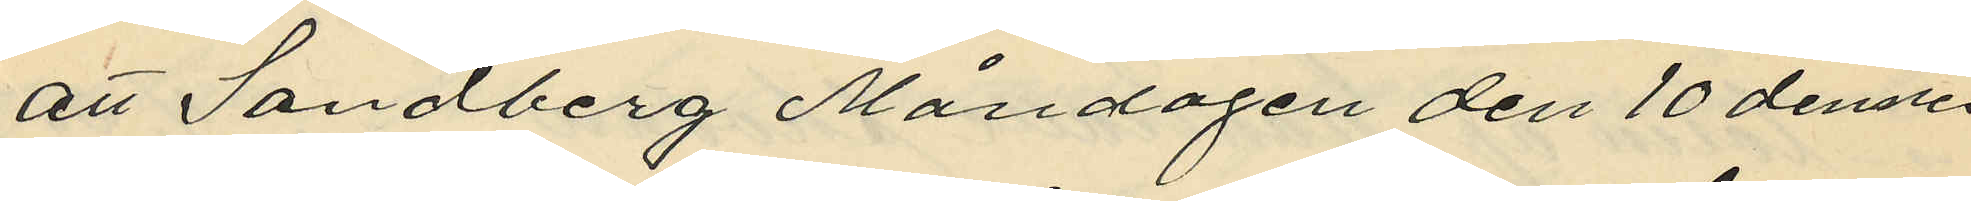att Sandberg Måndagen den 10 dennes
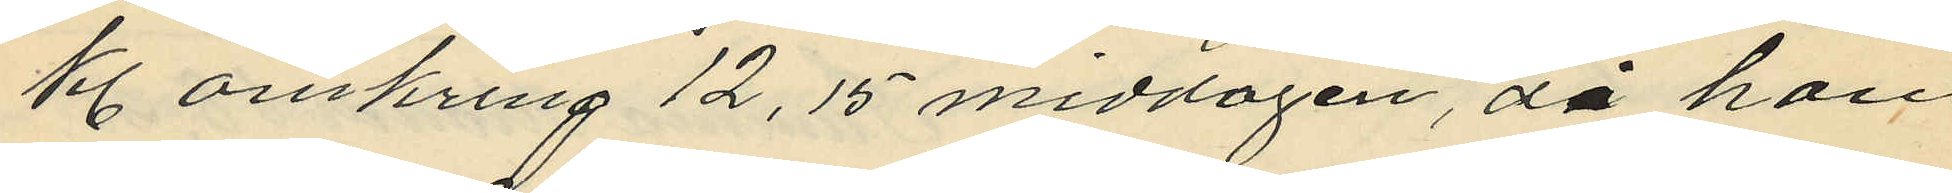kl omkring 12,15 middagen, då han
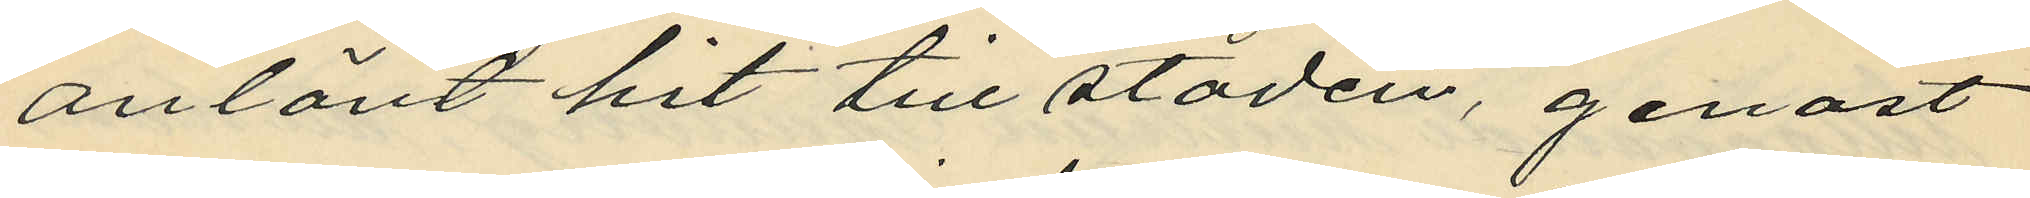anlänt hit till staden, genast
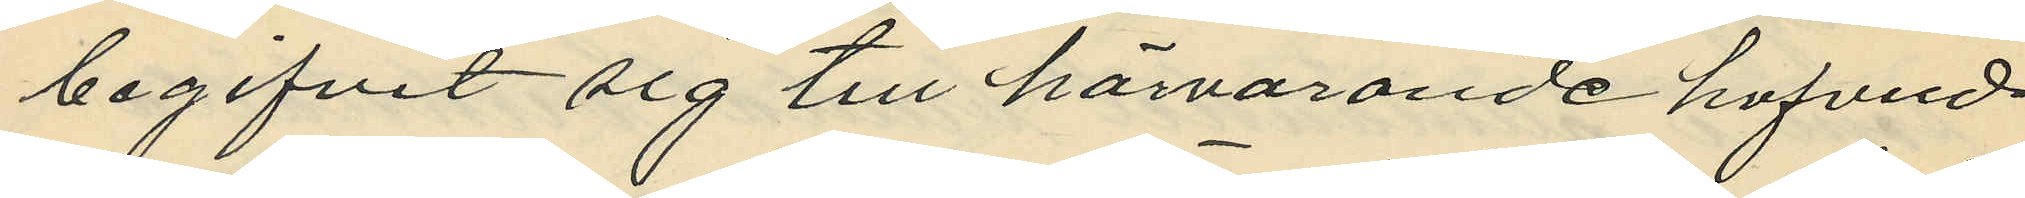begifvit sig till härvarande hufvud¬
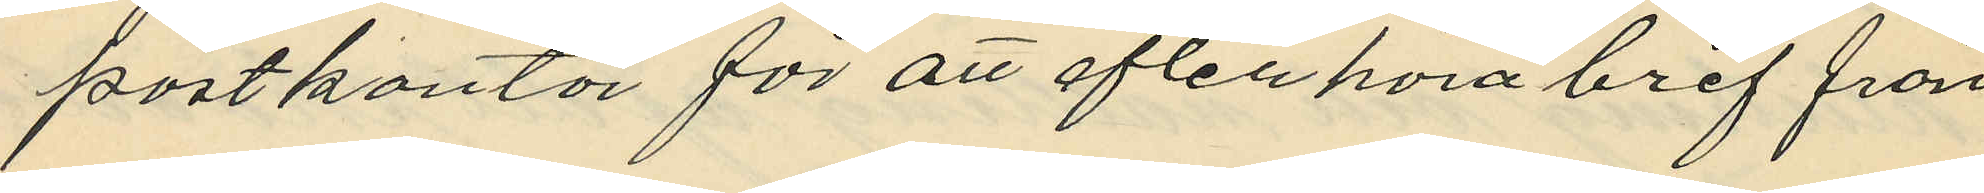postkontor för att efterhöra bref från
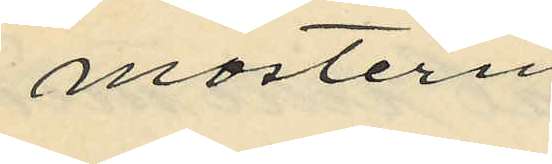mostern,
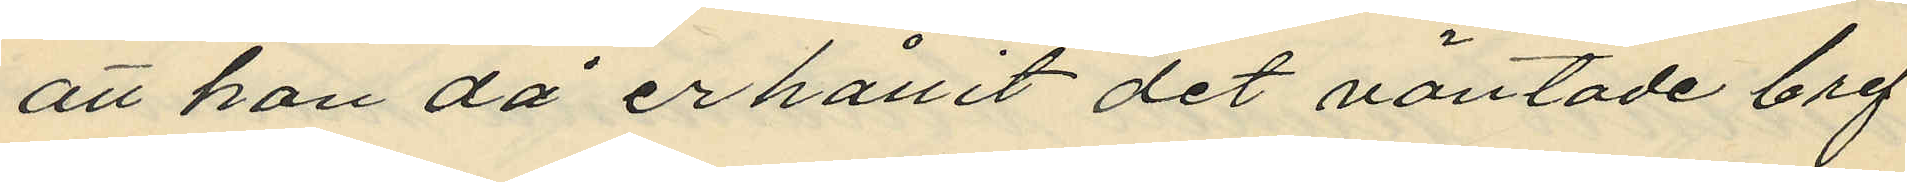att han då erhållit det väntade bref¬
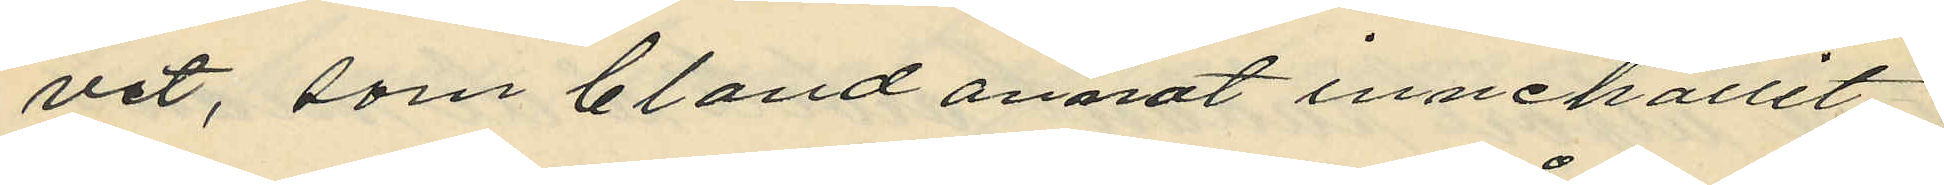vet, som bland annat innehållit
